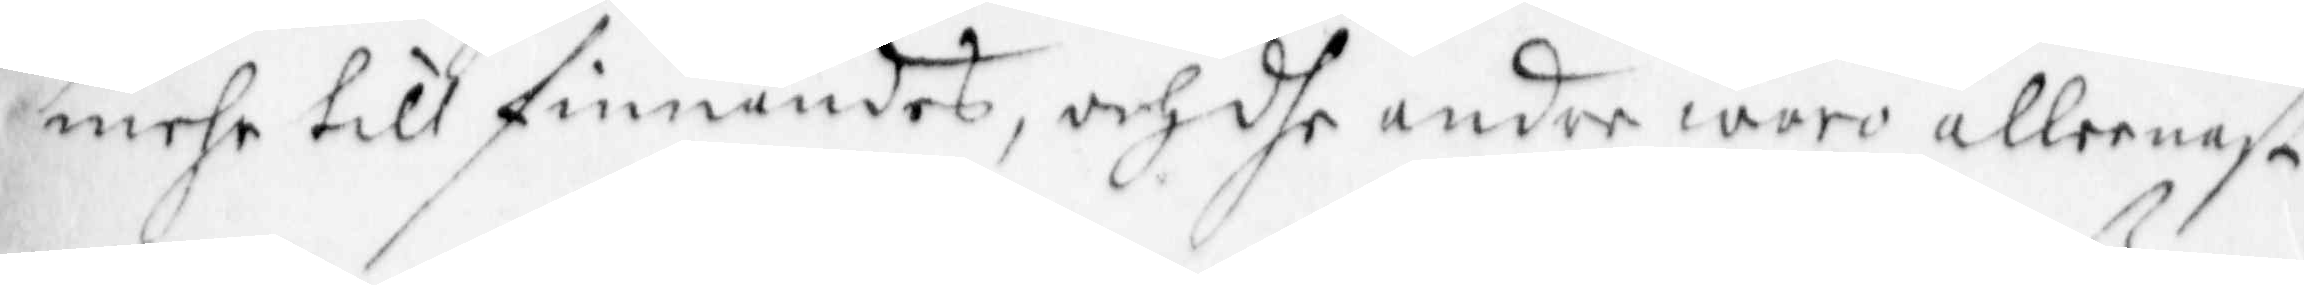mehr till finnandes, och dhe andre worw alleenast
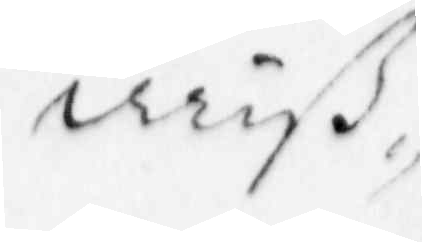miß
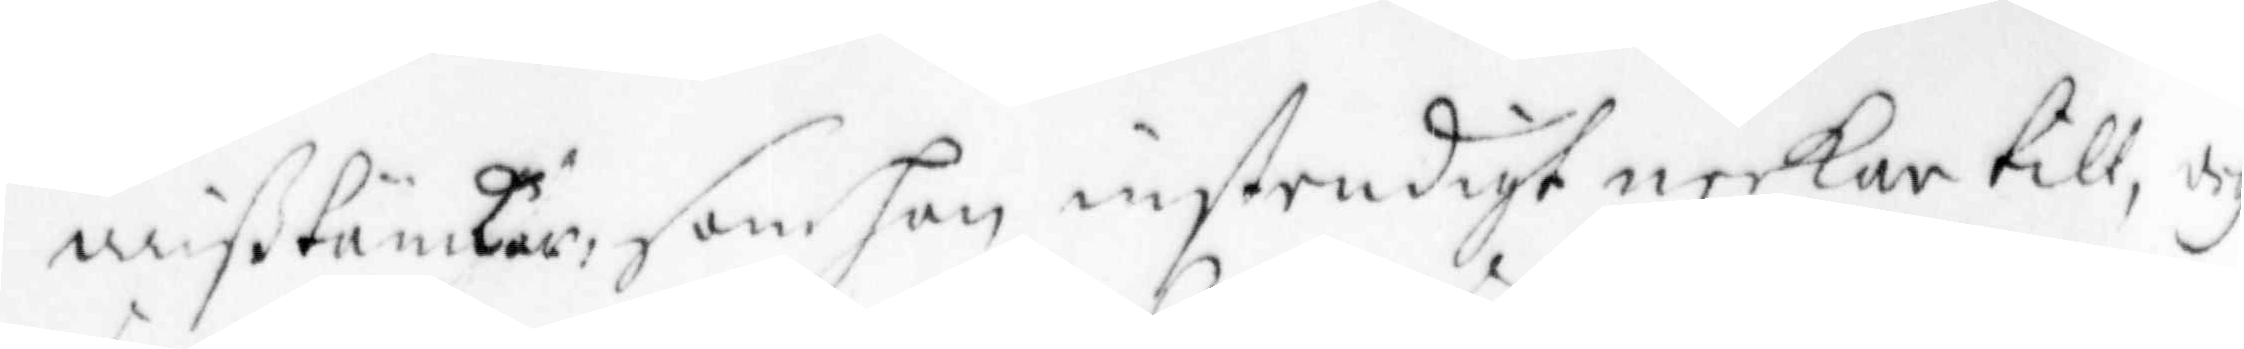mißtänkiar, som han enständigt neekar till, doch
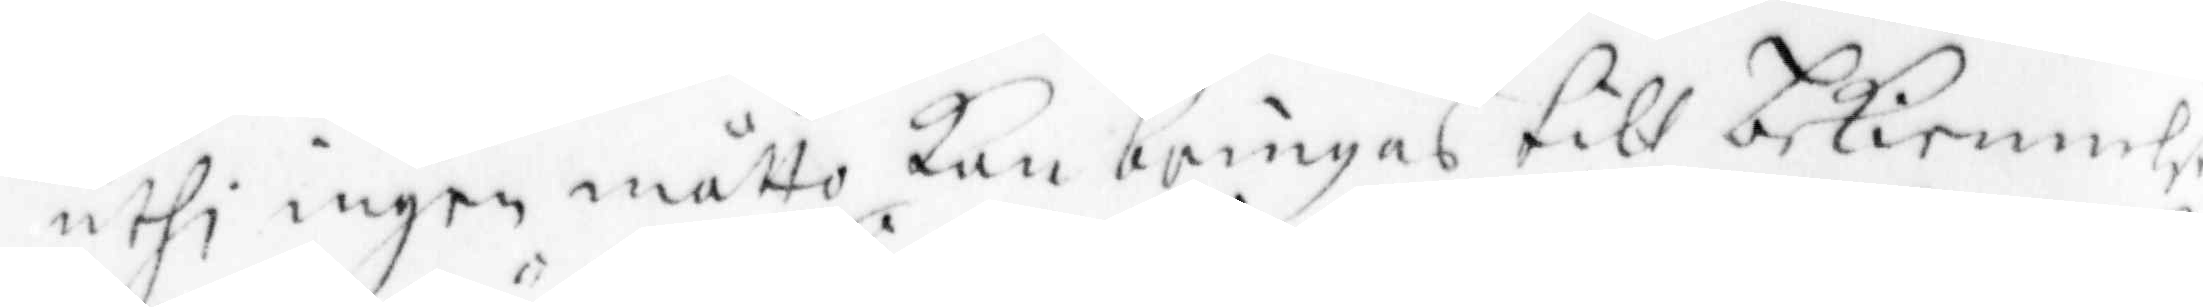uthi ingen måtto Kan bringas till bekiennelse,
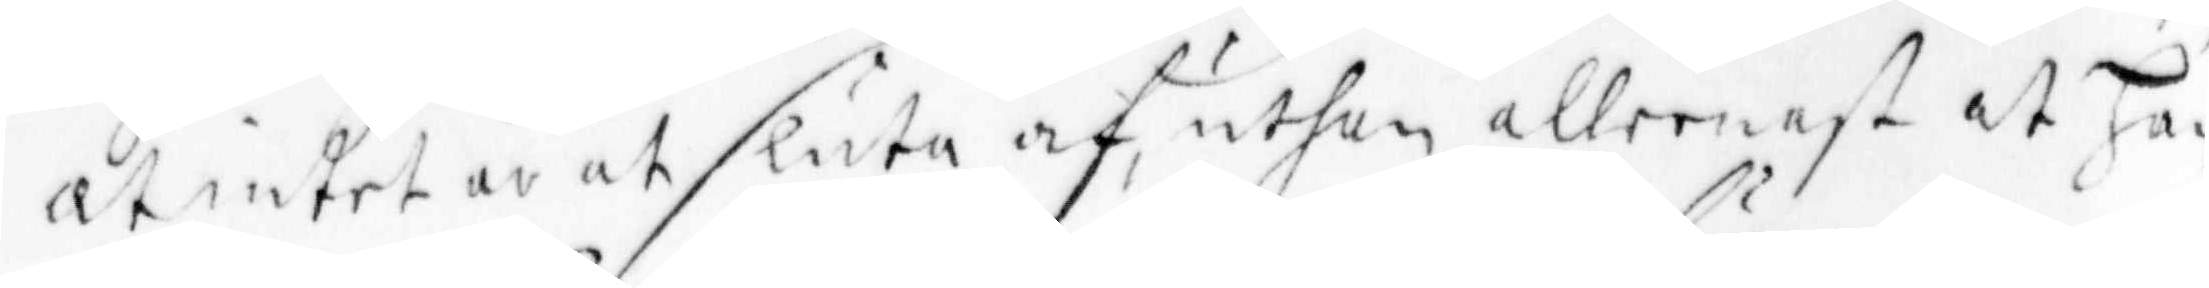at intet är at sluta af, uthan alleenast at Han
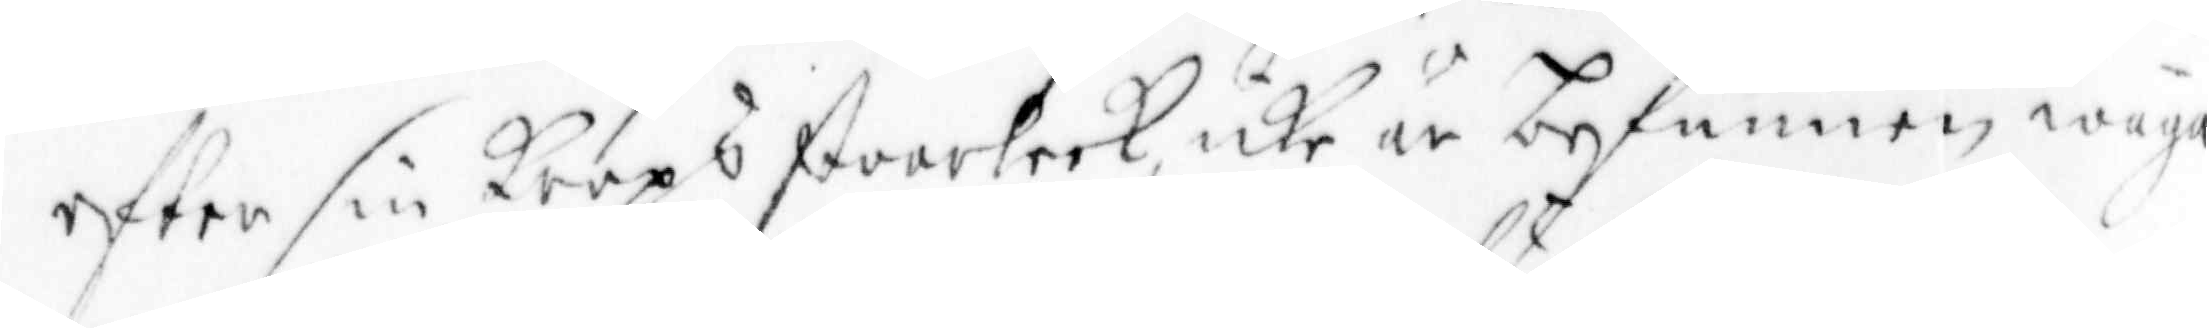efter sin Krops storlek, icke är begunnen wäga
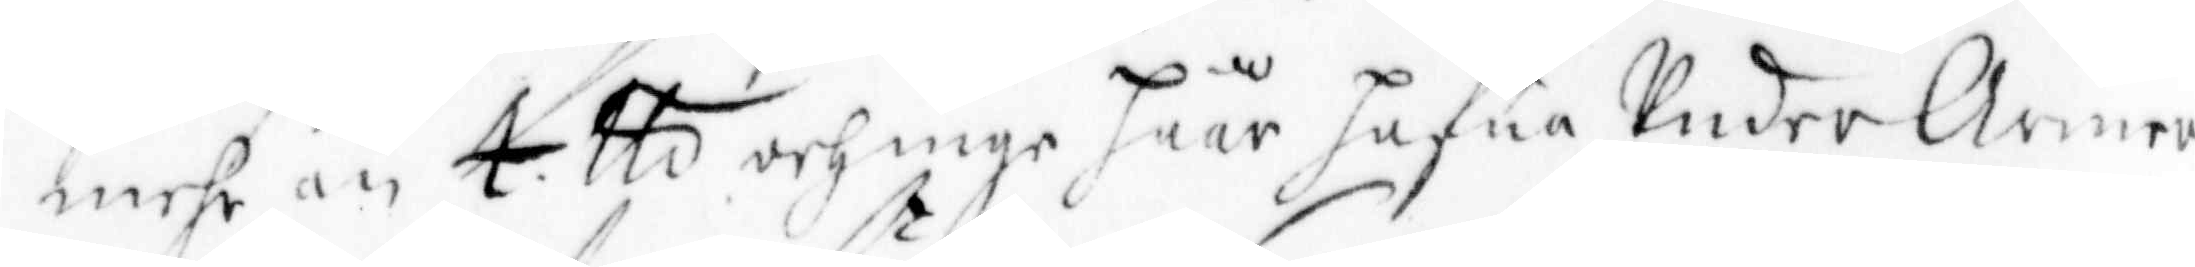mehr än 4 tts och inge häär hafua Under Armen
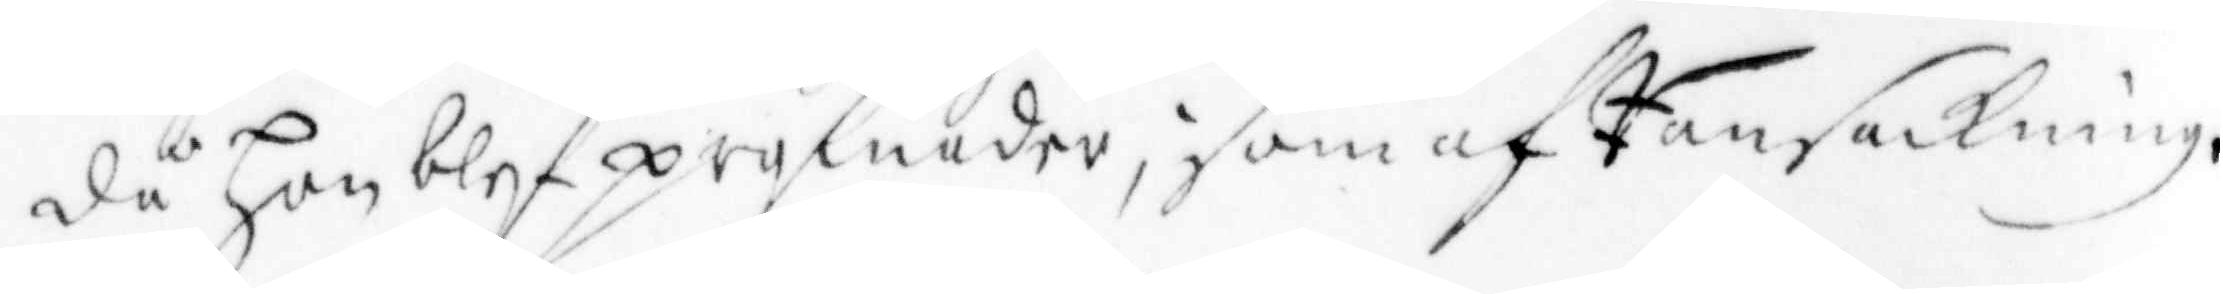då han blef profunder; som af Ransackningen
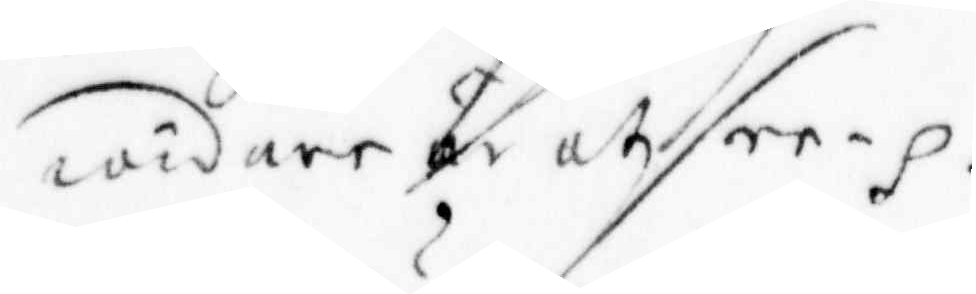widare är uthsee. ...
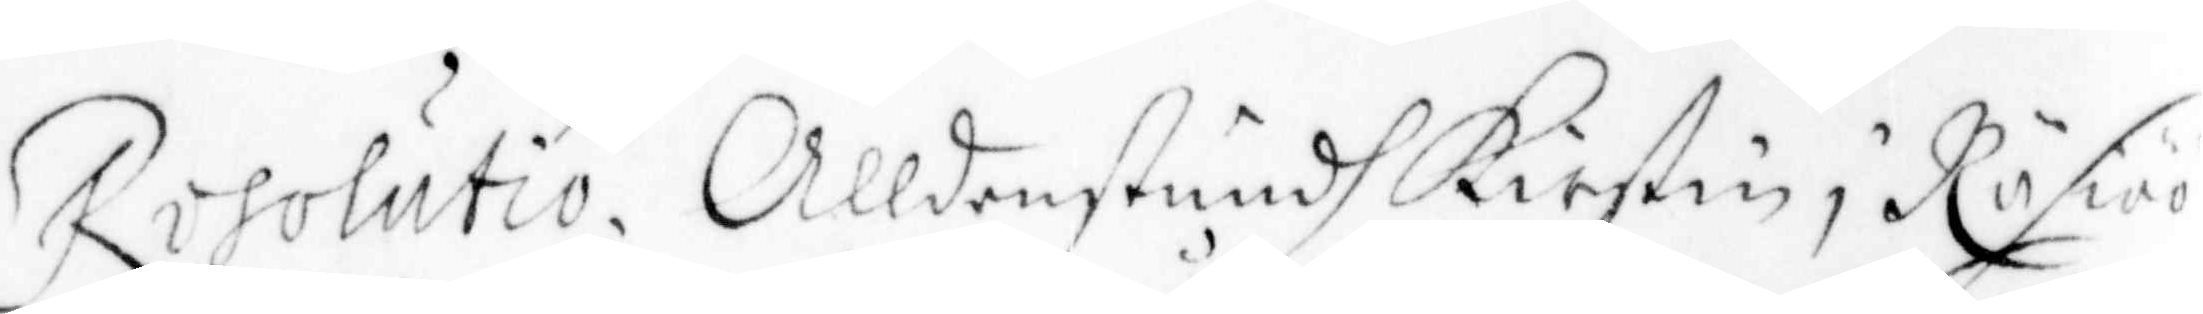Resolutio. Alldensstundh Kirstin i Räsiöö
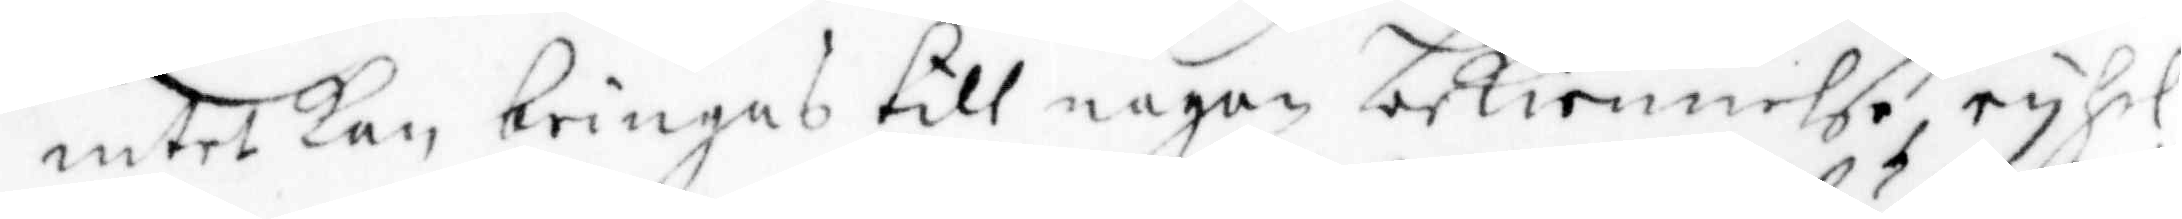intet Kan bringas till någon bekiennelse, ryhel¬
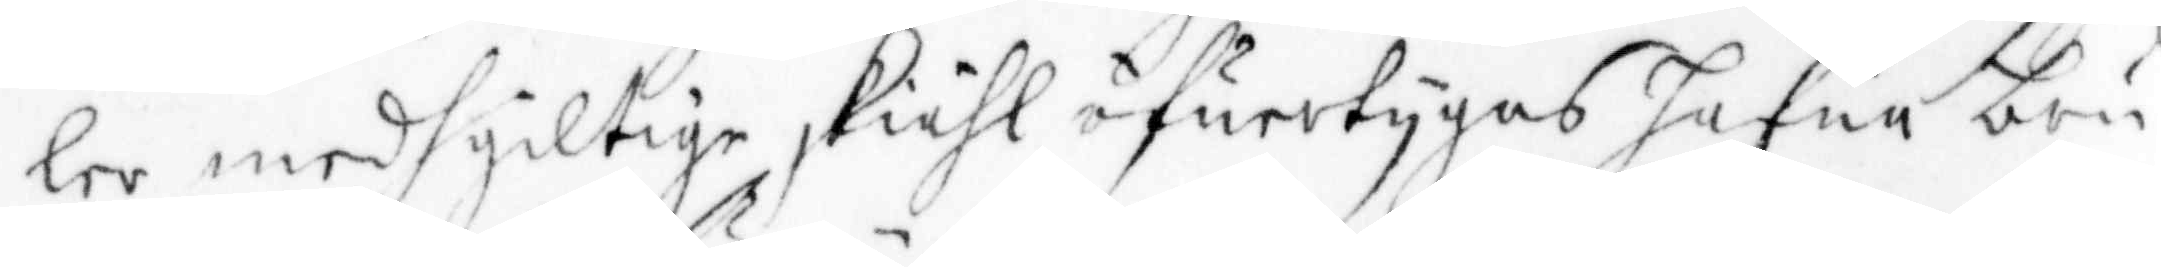ler medh giltige skiähl öfuertyhas hafua bru¬
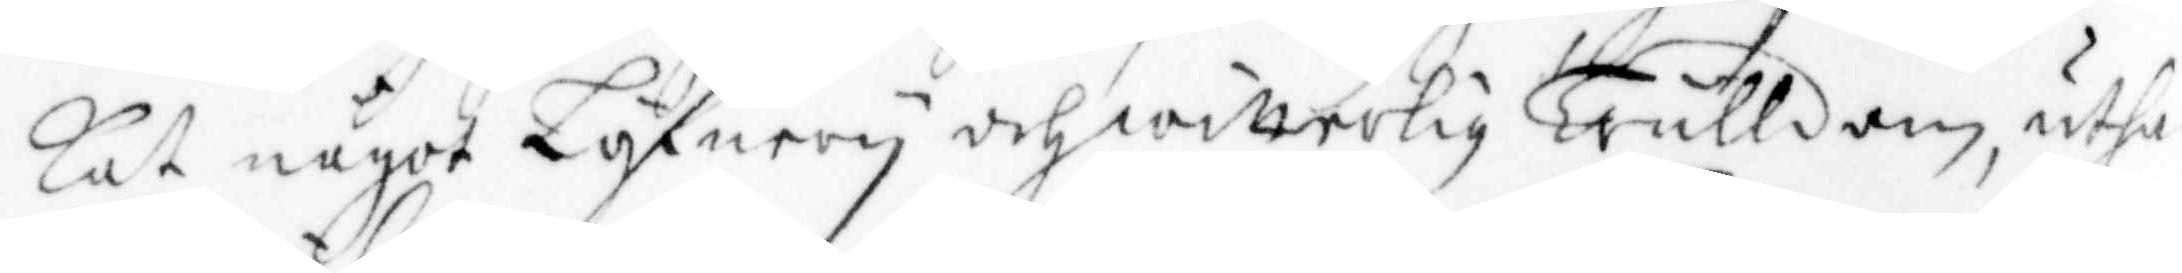kat något Löfuery och witterlig Trulldom, uthan
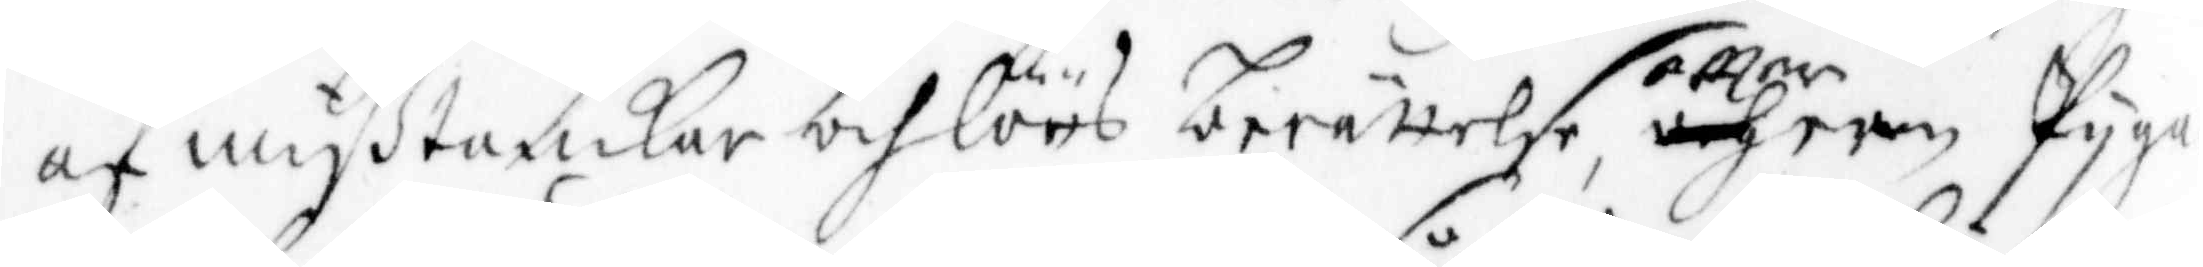af mißtankar och löös berättelse effter een pygas
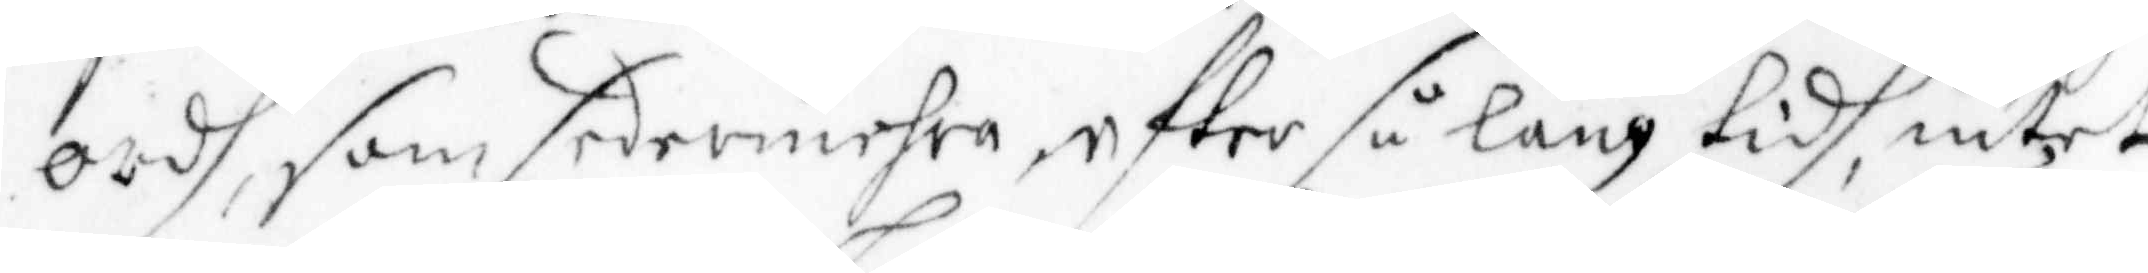ordh, som sedermehra efter så lång tidh, intet 
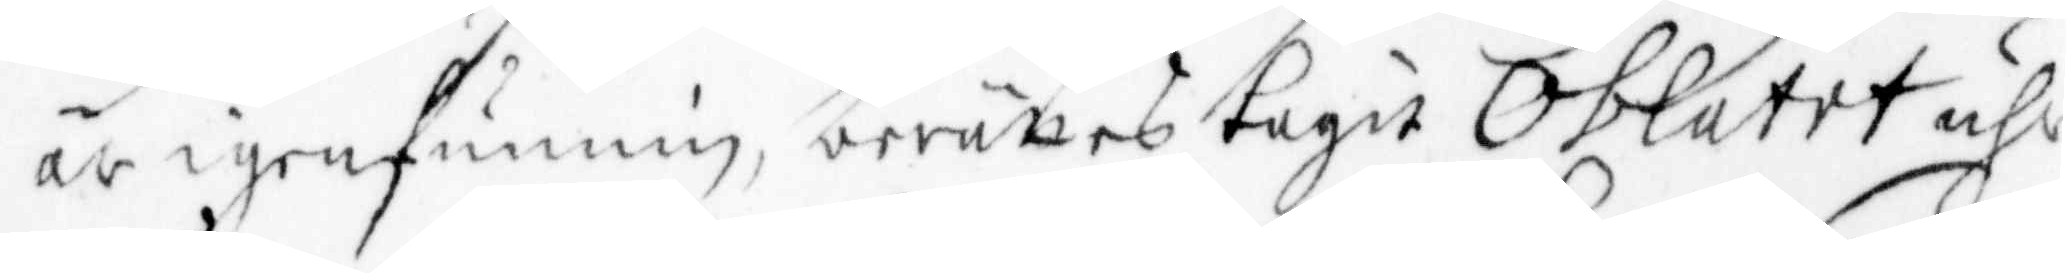är igenfunnig, berättes tagit Oblatet uhr
